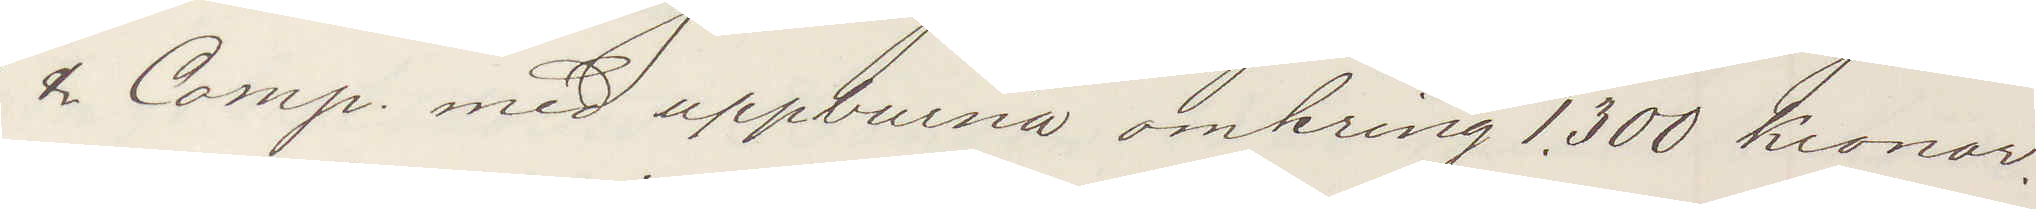& Comp med uppburna omkring 1.300 Kronor.
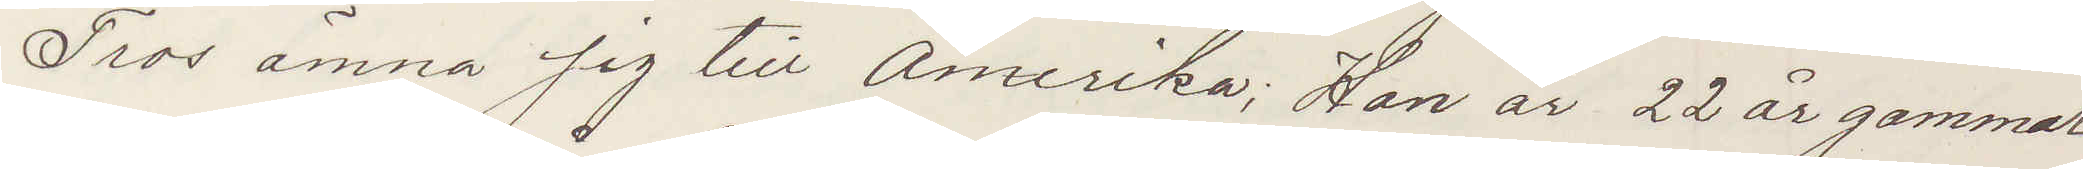Tros ämna sig till Amerika; Han är 22 år gammal
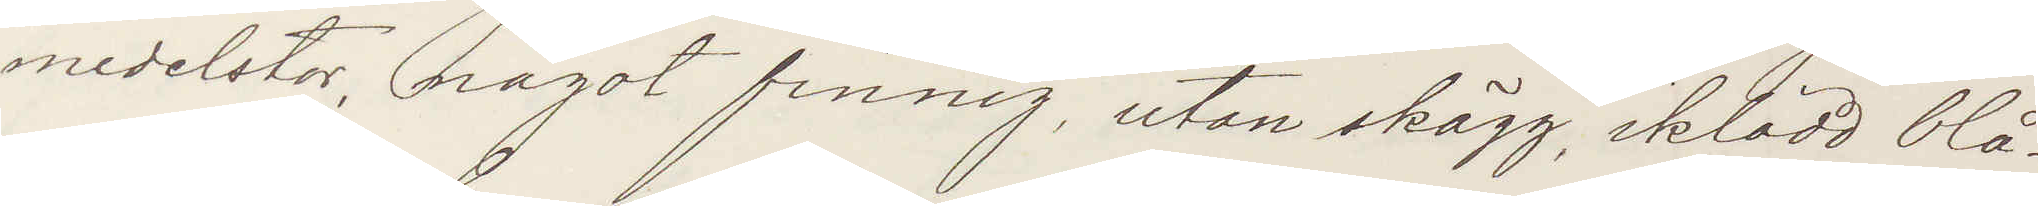medelstor, något finnig, utan skägg, iklädd blå
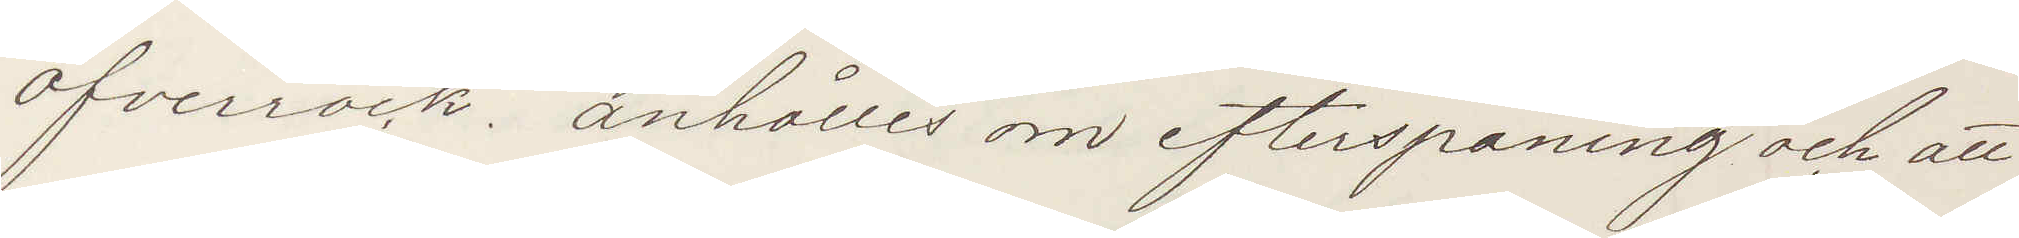öfverrock. anhålles om efterspaning och att
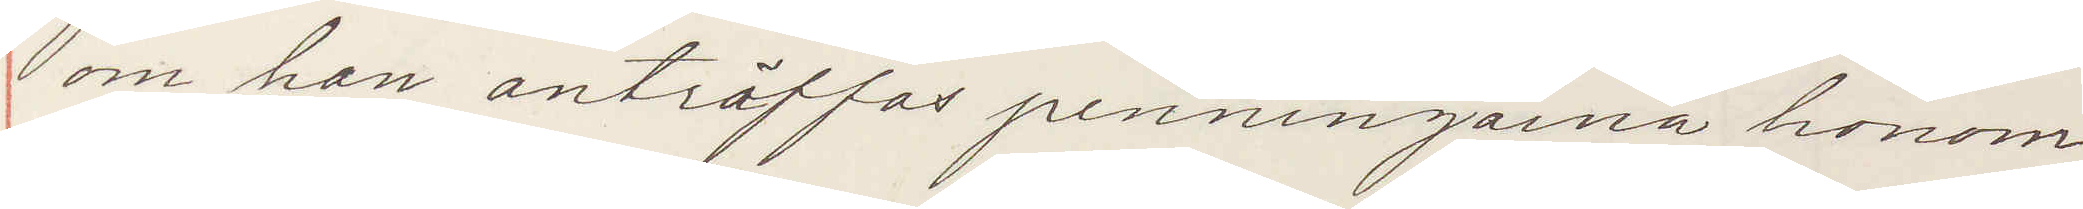om han anträffas penningarna honom
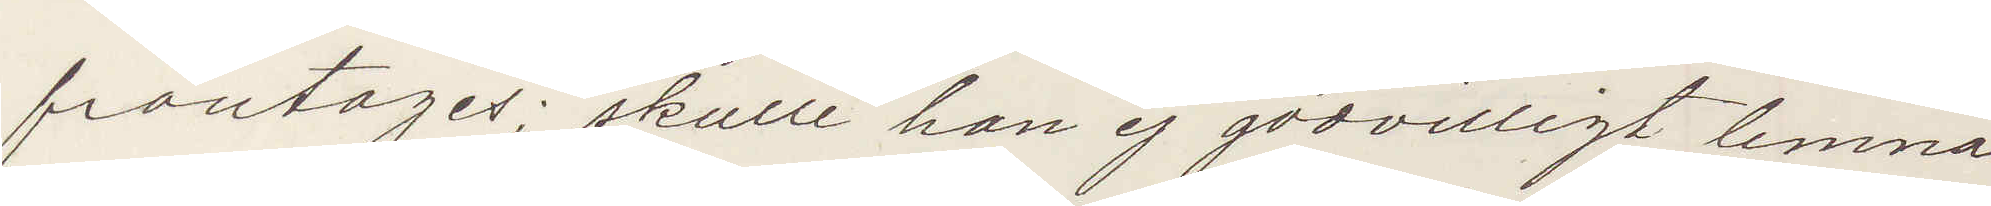fråntages; skulle han ej godvilligt lemna
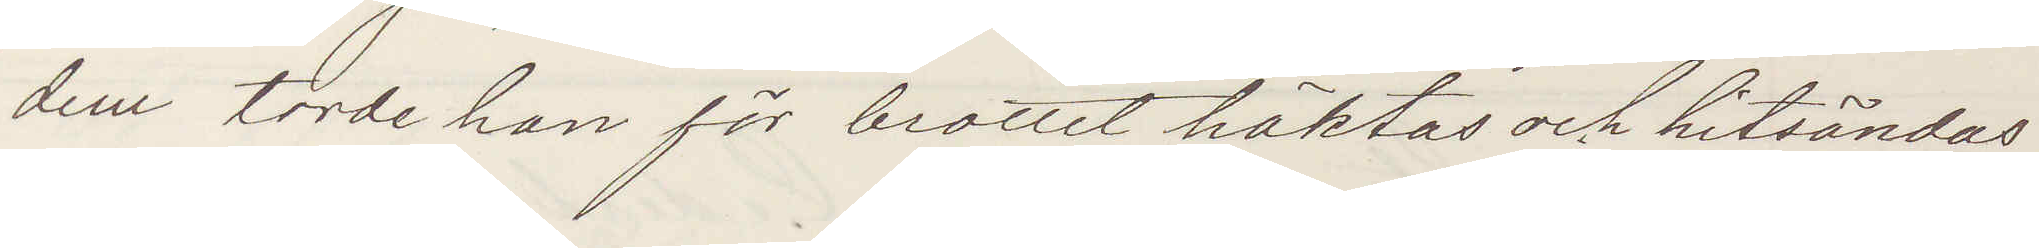dem torde han för brottet häktas och hitsändas
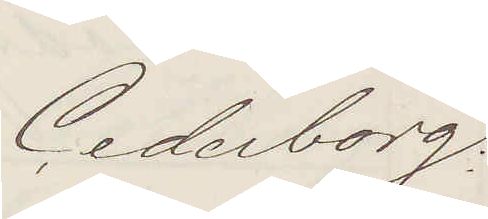Cederborg.
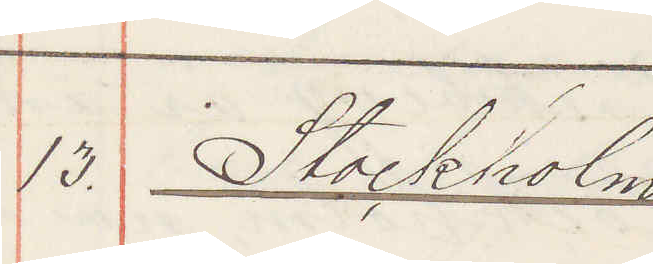13. Stockholm
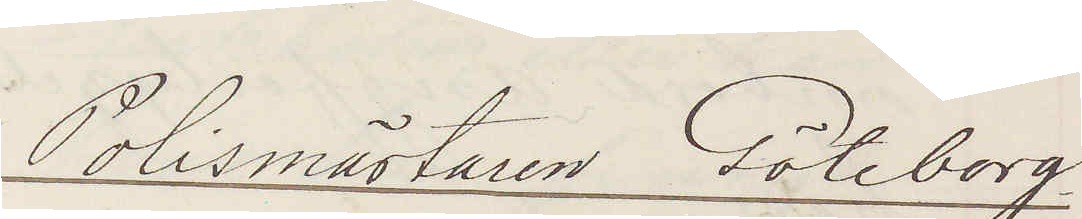Polismästaren Göteborg
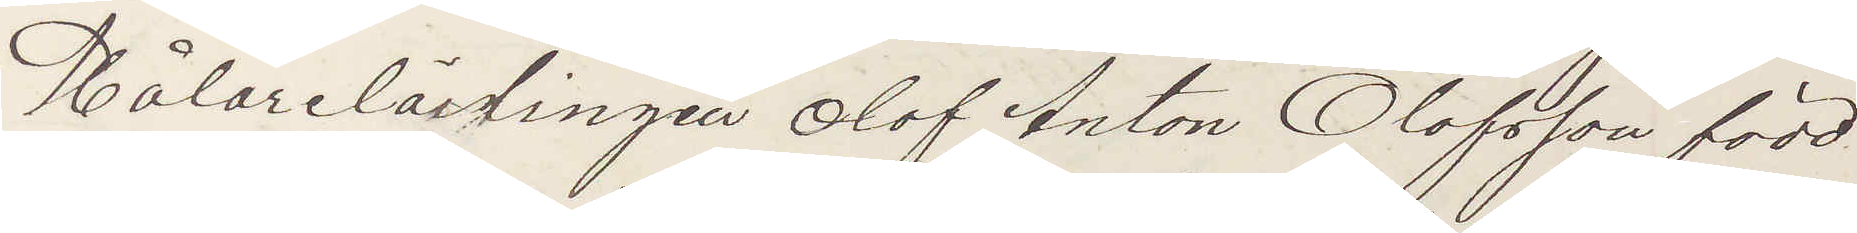Målarelärlingen Olof Anton Olofsson född
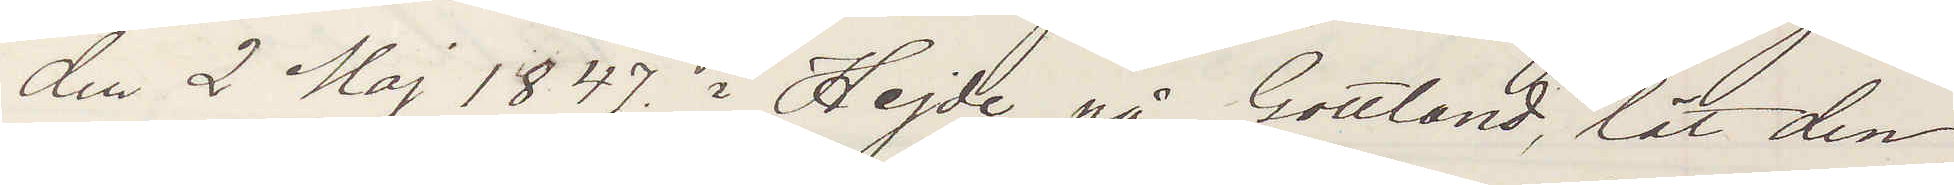den 2 Maj 1847 i Hejde på Gottland, lät den
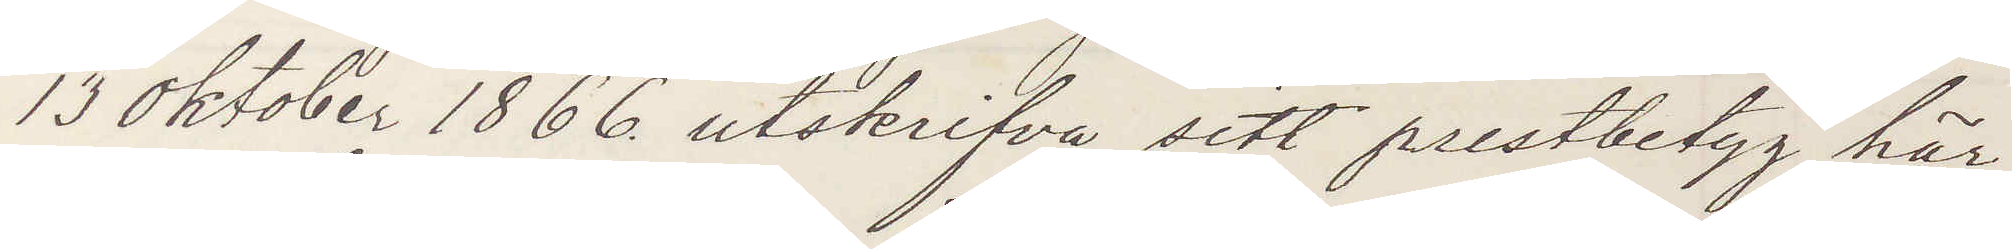13 oktober 1866 utskrifva sitt prestbetyg här¬
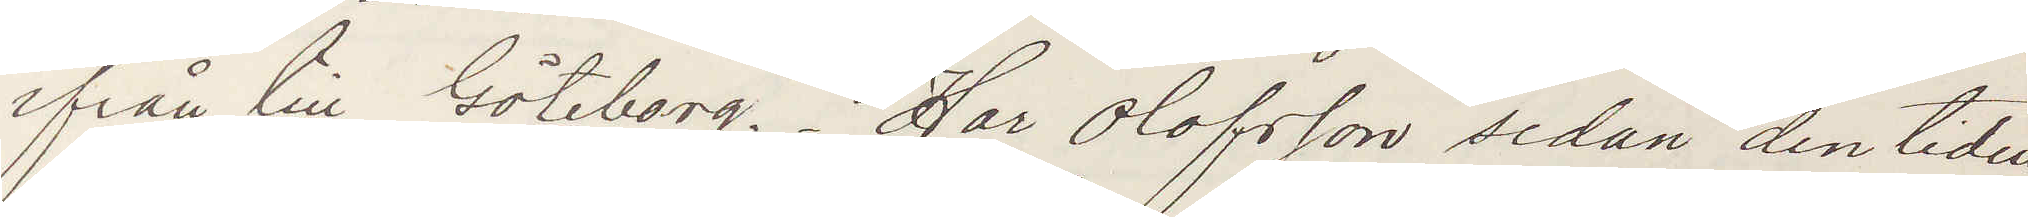ifrån till Göteborg. Har Olofsson sedan den tiden
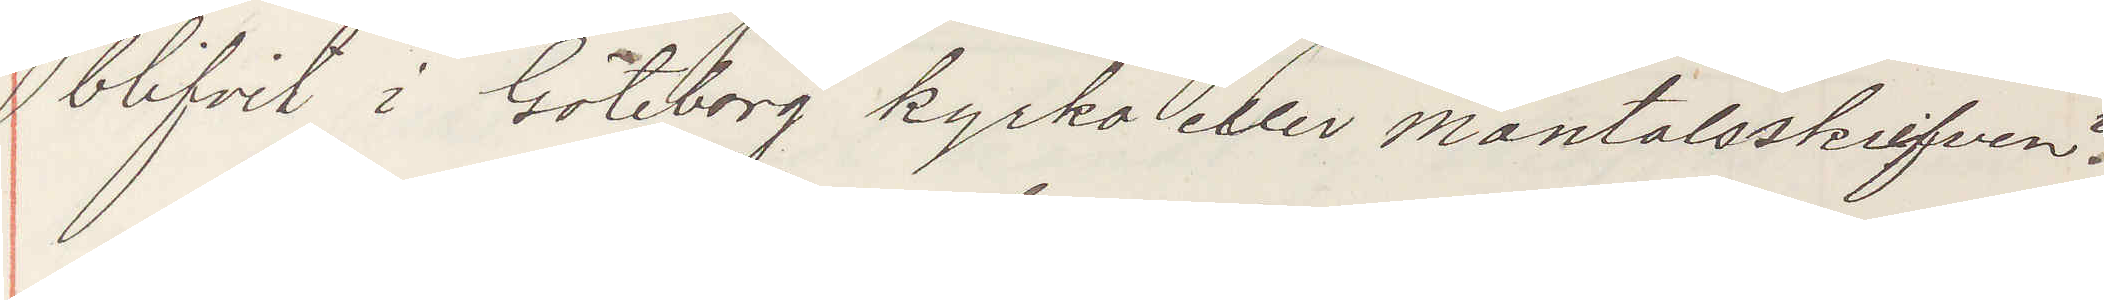blifvit i Göteborg kyrko eller mantalsskrifven?
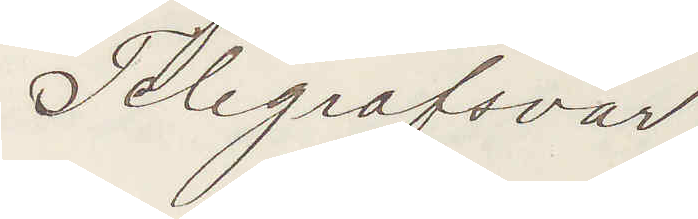Telegrafsvar
